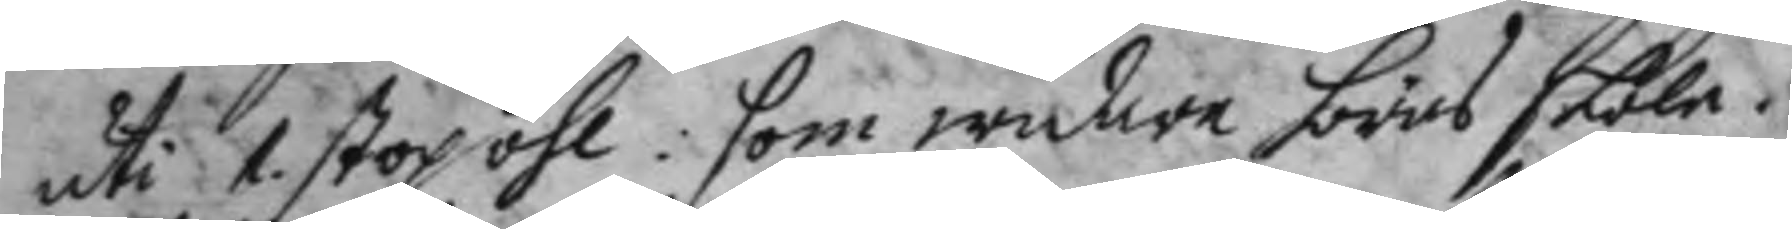uti 1. stop öhl: som widare höras skole.
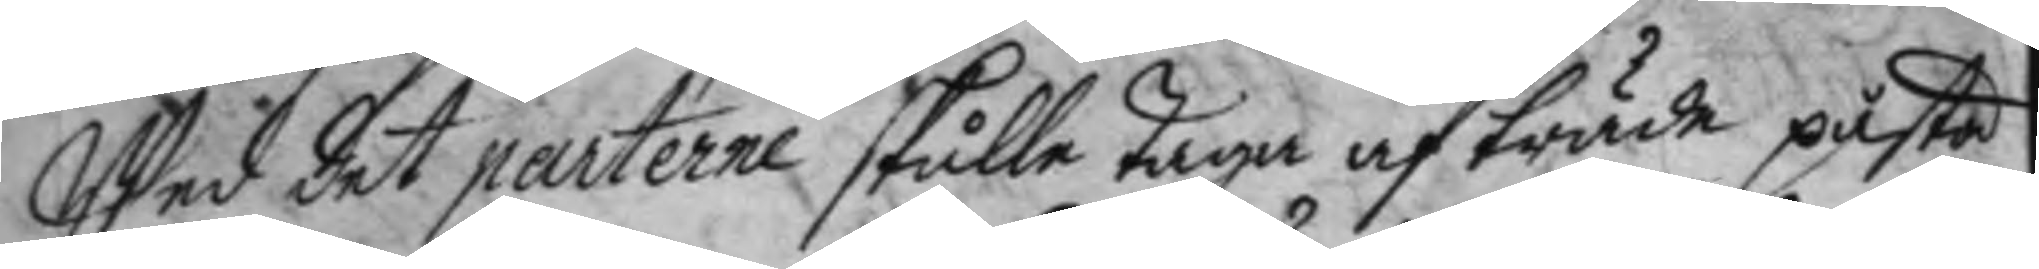Wed det parterne skulle taga af träde påstå
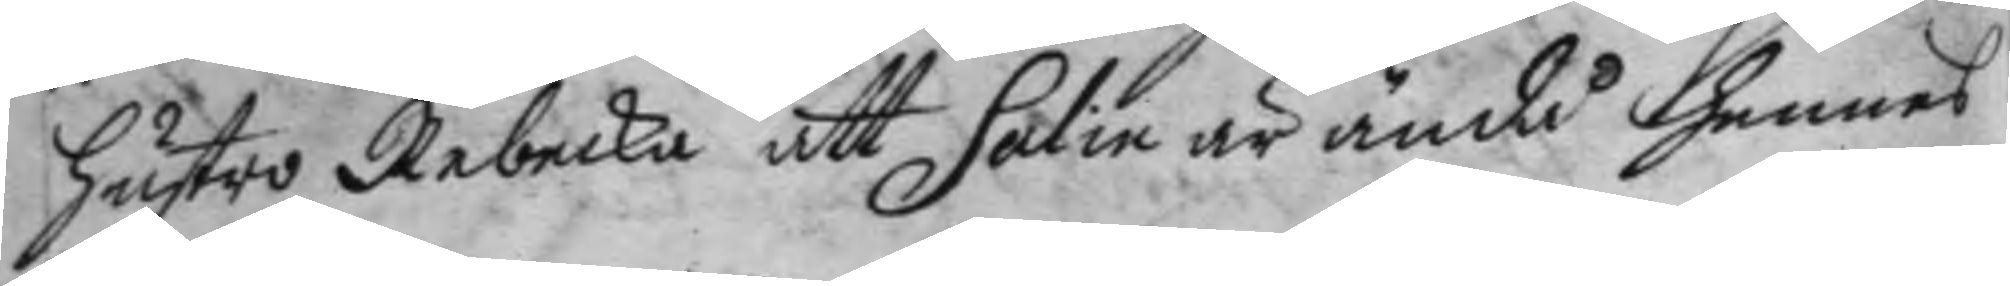hustro Rebecka att Salin är ändå hennes
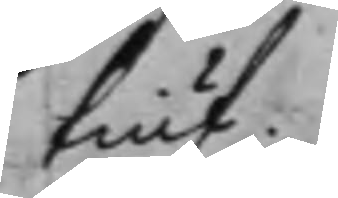tiuf.
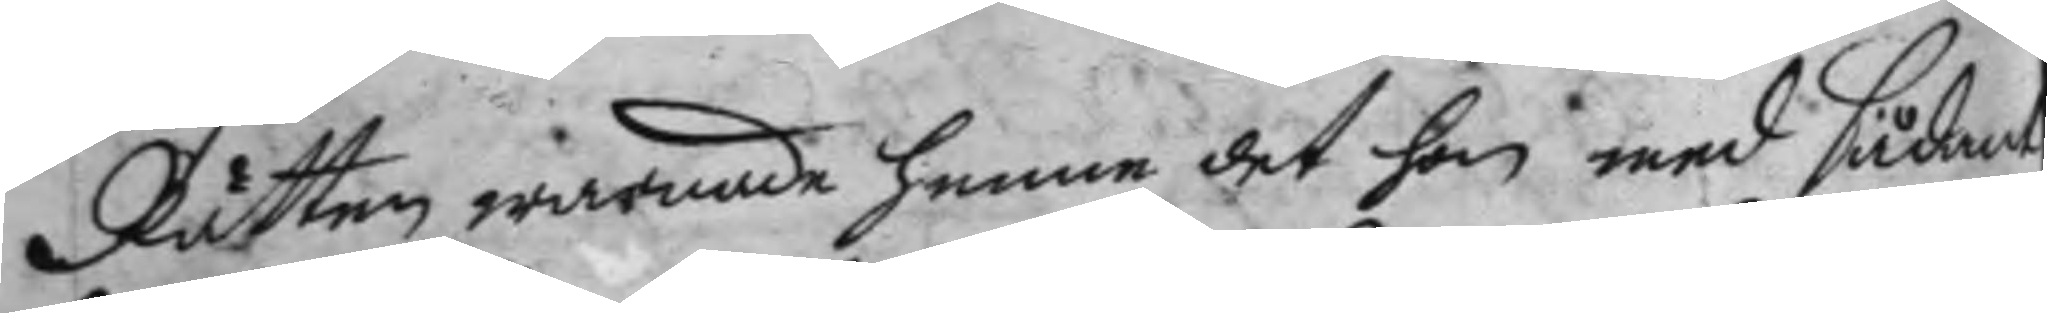Rätten warnade henne det hon med sådant
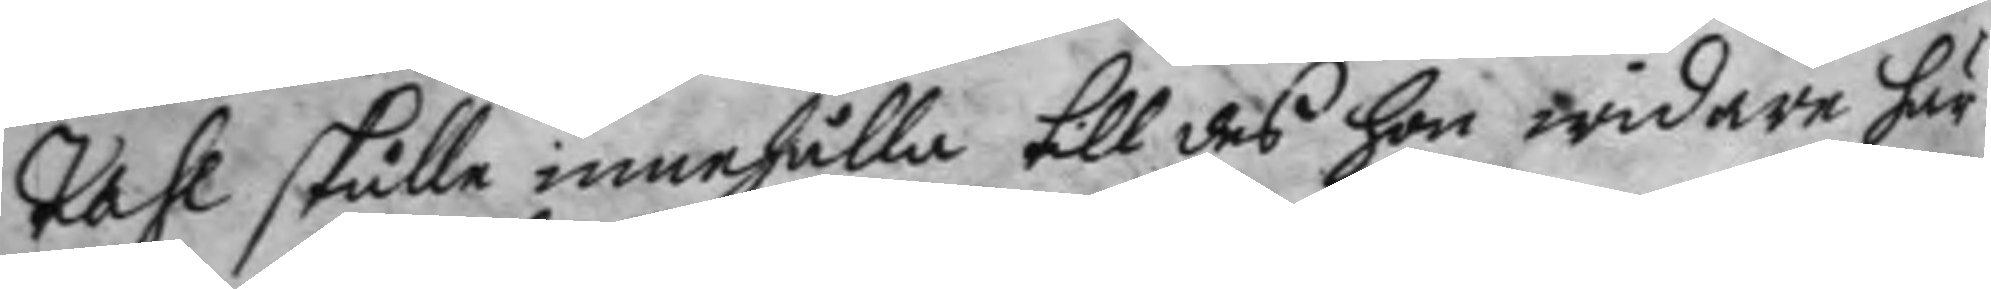tahl skulle innehålla till des hon widare här
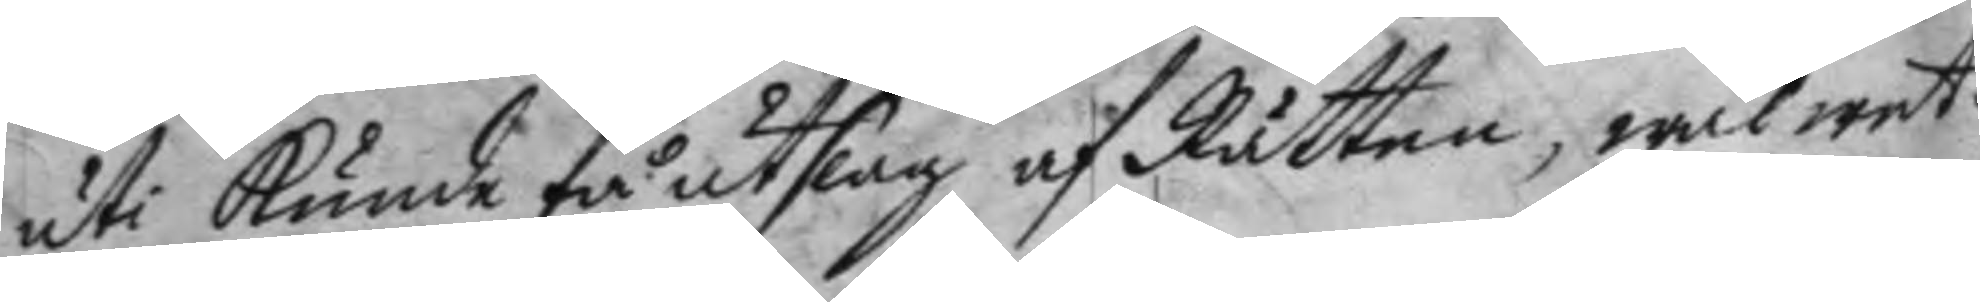uti Kunde få utslag af Rätten, wäl wet¬
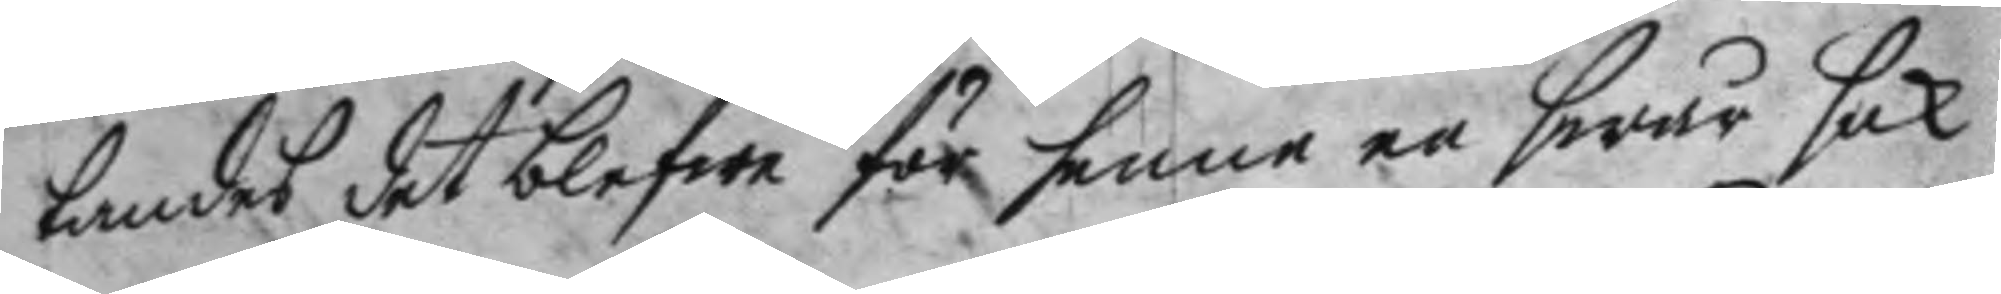tandet det blefwe för henne en swår sak
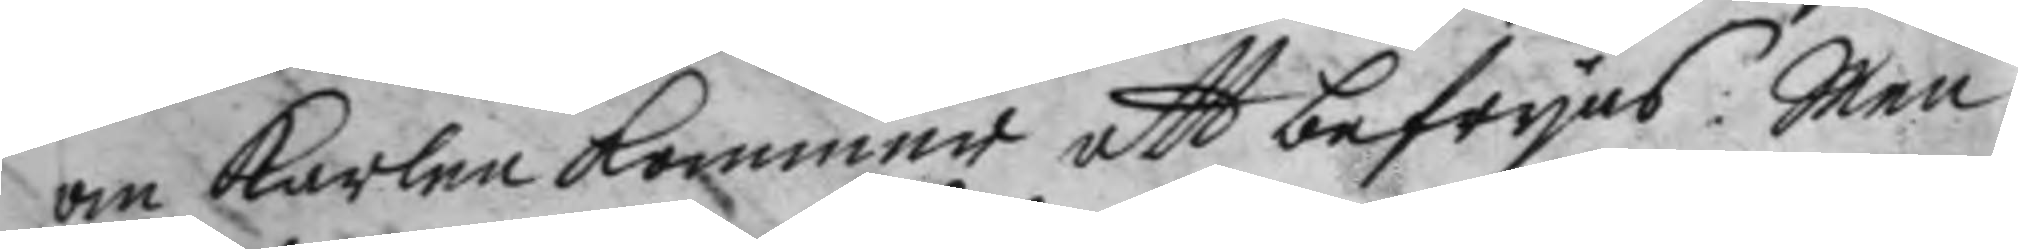om Karlen kommer att befryas: Men
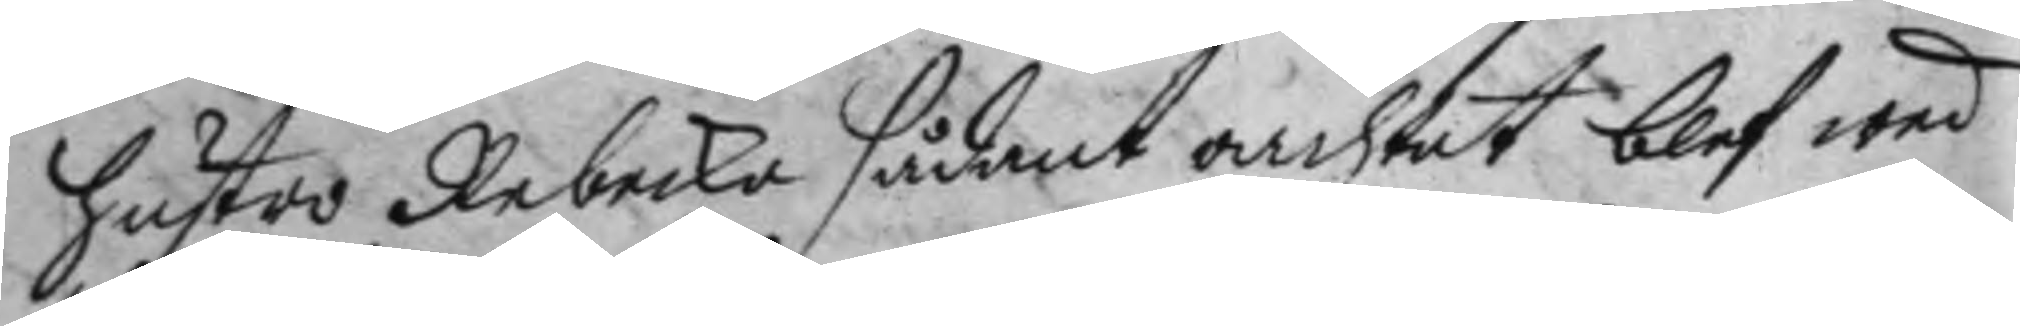hustro Rebecka sådant oachtat blef wed
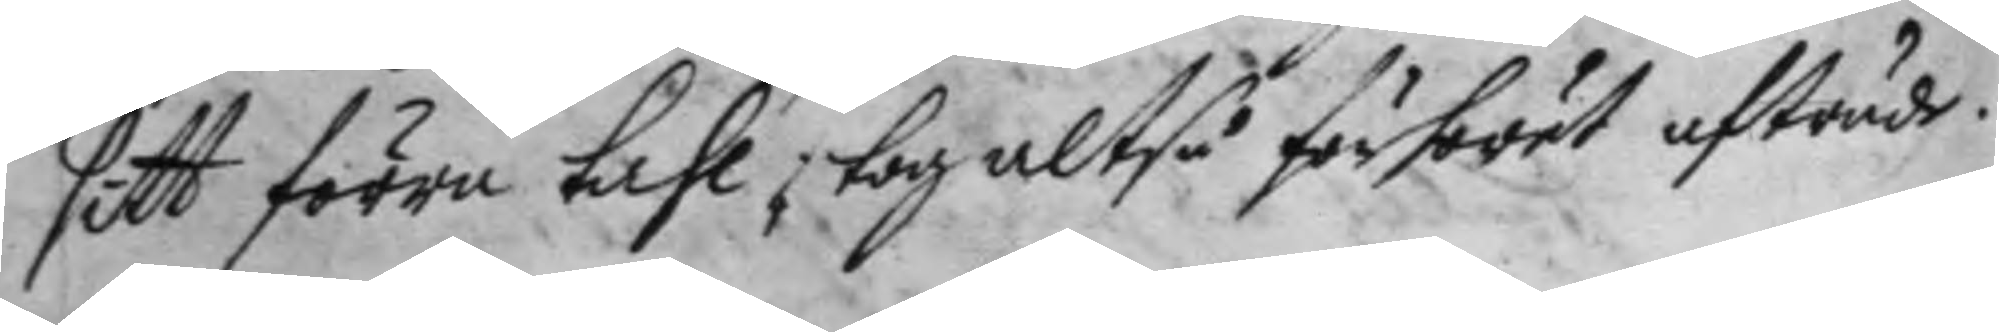sitt förra tahl, tog altså förhörrt afträde.
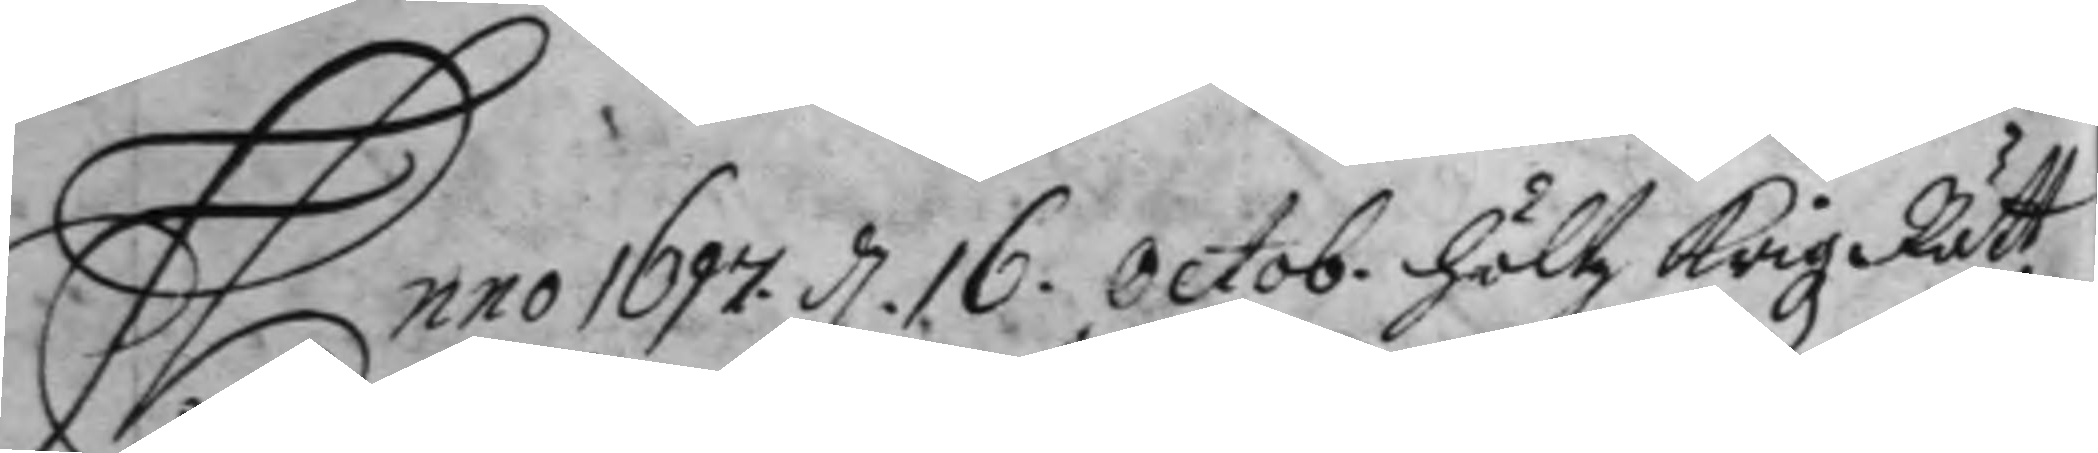Anno 1697 d. 16. Octob. Höltz Krigz Rätt
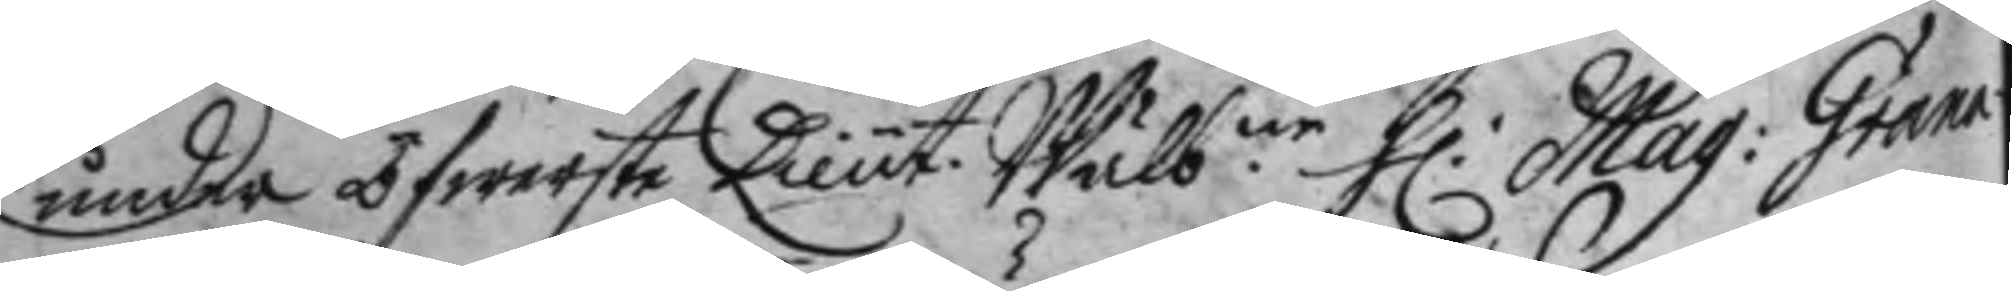under öfwerste Lieut. Wälb.ne H: Mag: Grana¬ 
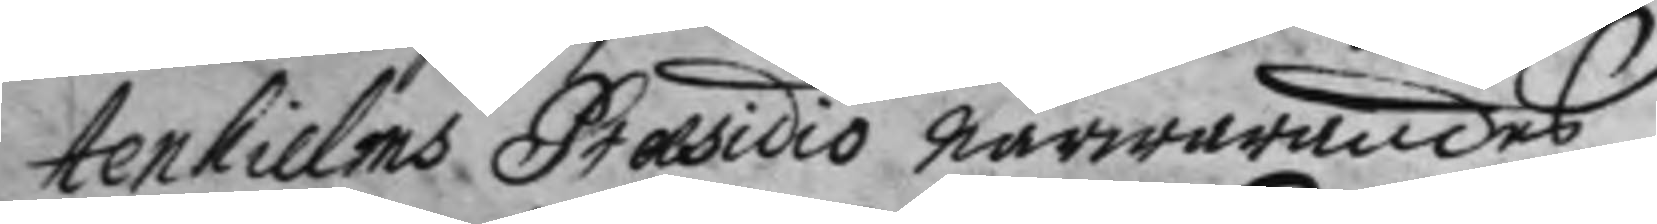tenhielms Præsidio närwarandes
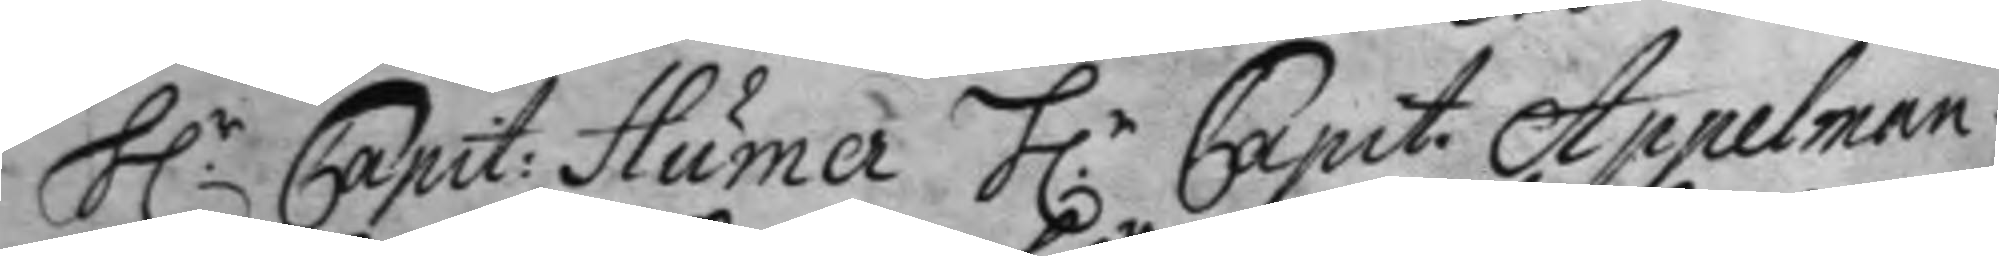H.r Capit: Humer H.r Capit: Appelman 
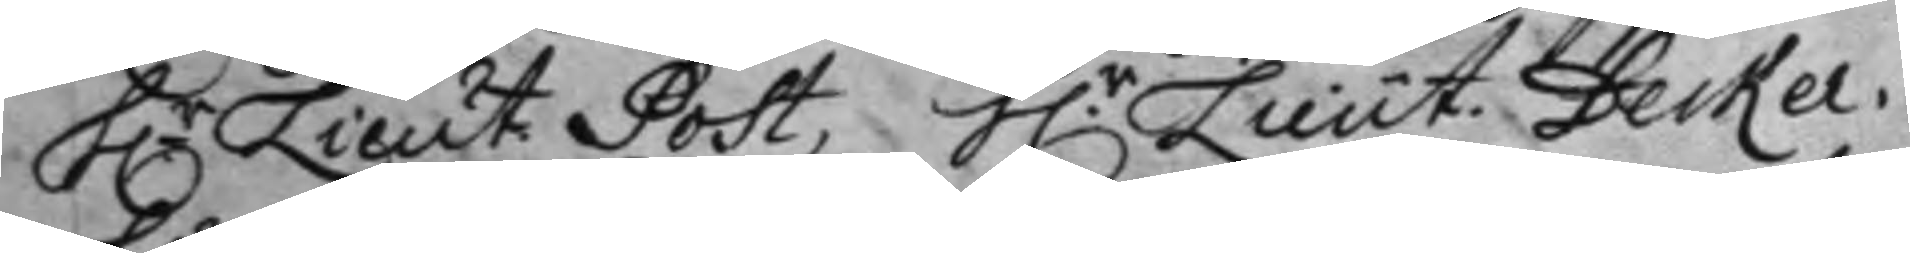H.r Lieut. Post, H.r Lieut. Decker. 
